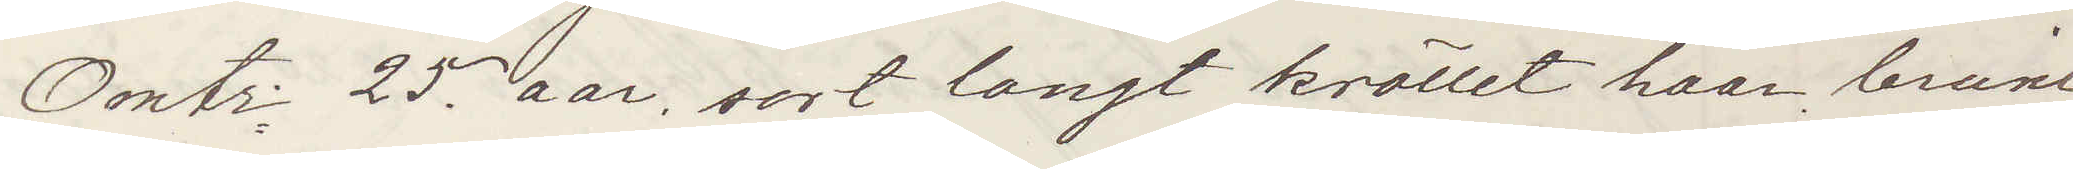Omtr 25 aar, sort langt kröllet haar, brune
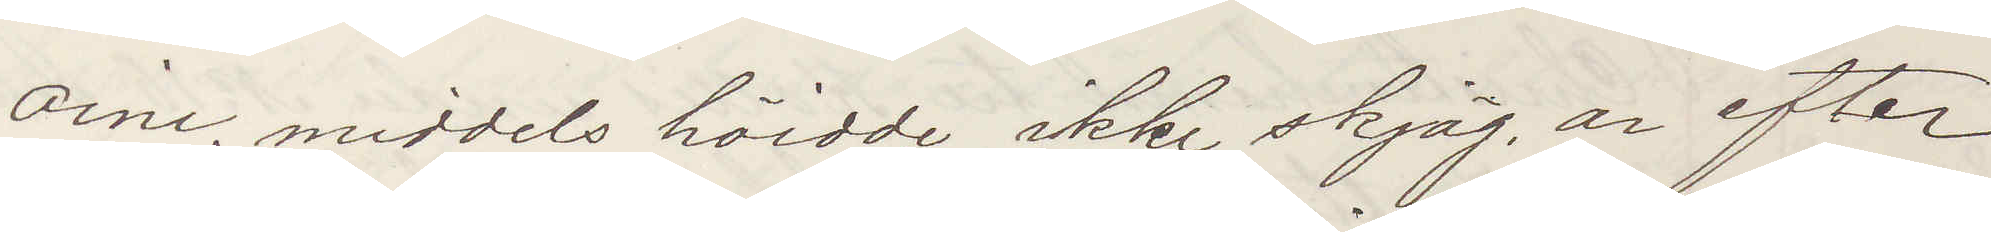oine, middels höidde, ikke skjäg, ar efter
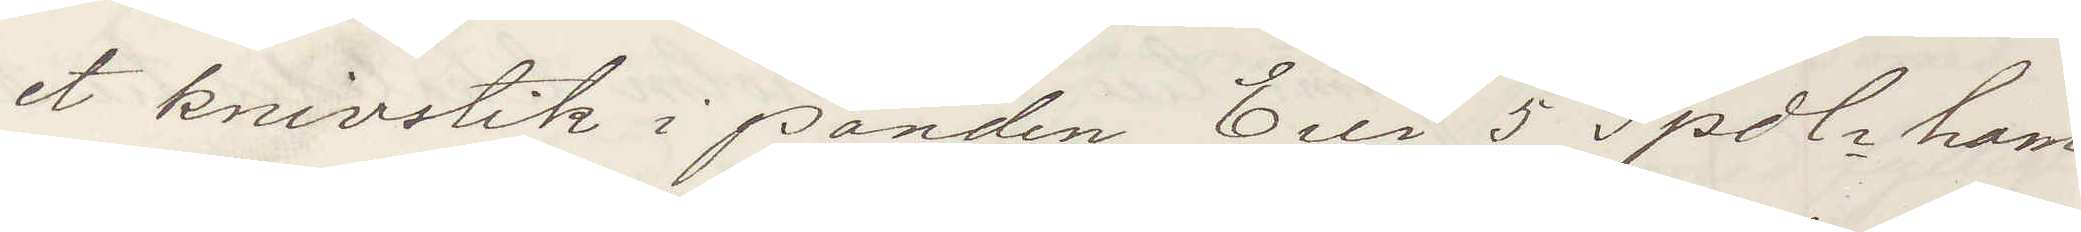et knivstik i panden. Ein 5 Spdlr ham
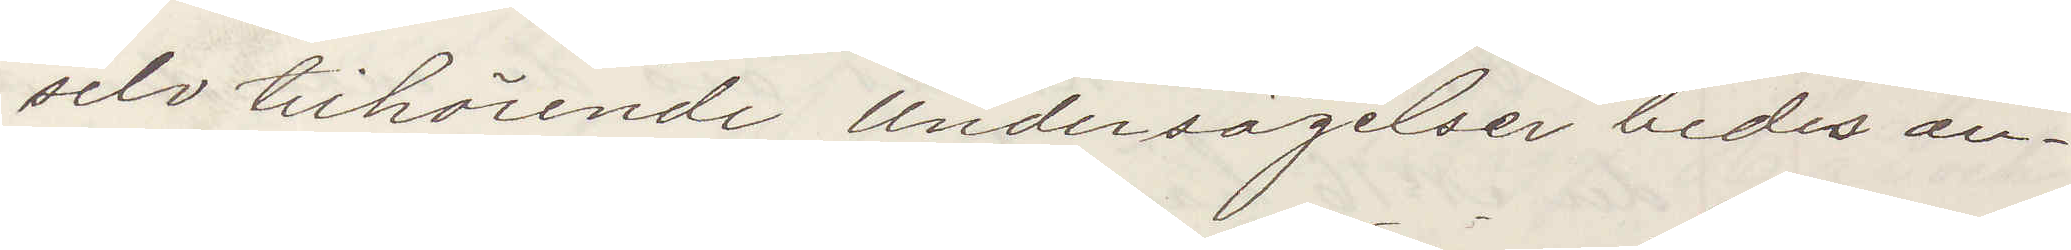selv tilhörende. Undersägelser bedes an¬
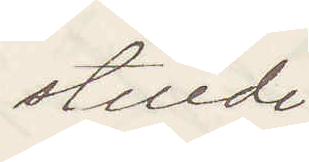stilede
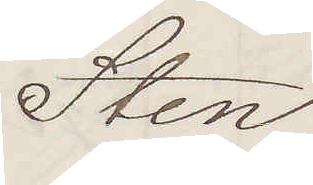Sten
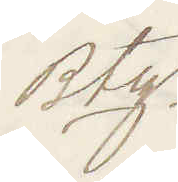Btz.
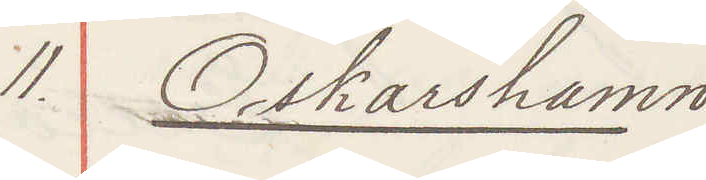11. Oskarshamn
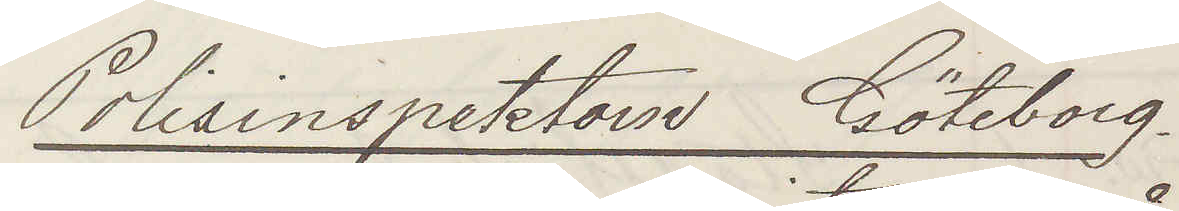Polisinspektorn Göteborg.
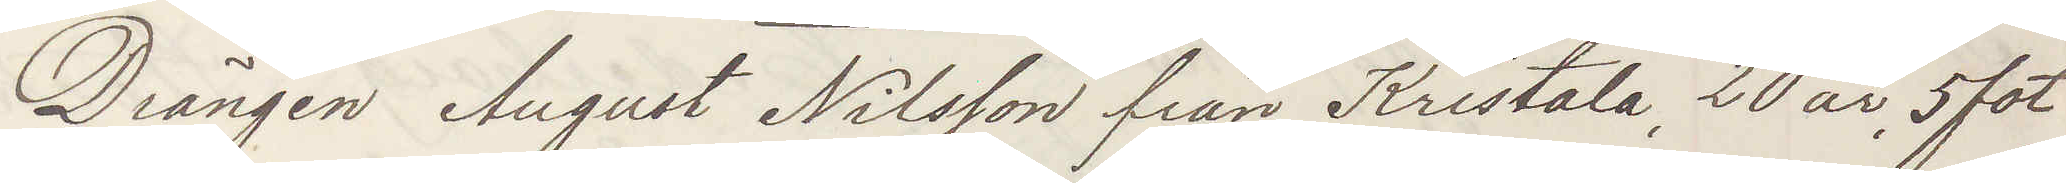Drängen August Nilsson från Kristala, 20 år, 5 fot
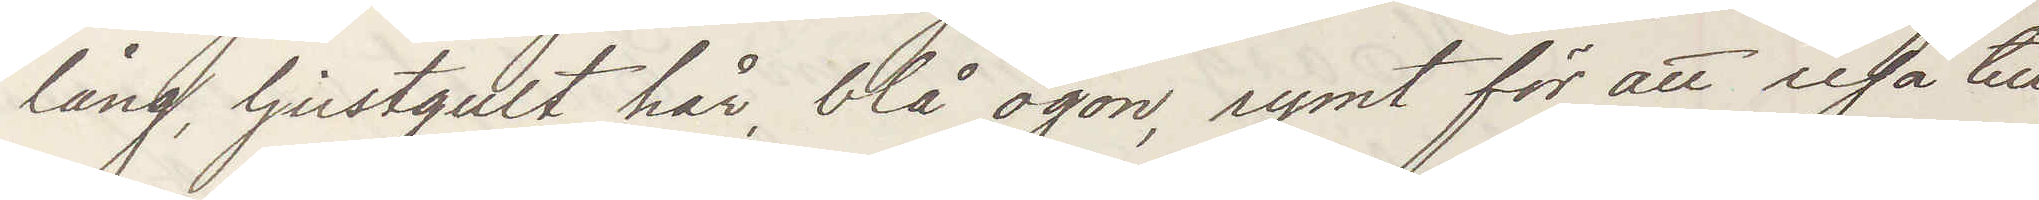lång, ljusgult hår, blå ögon, rymt för att resa till
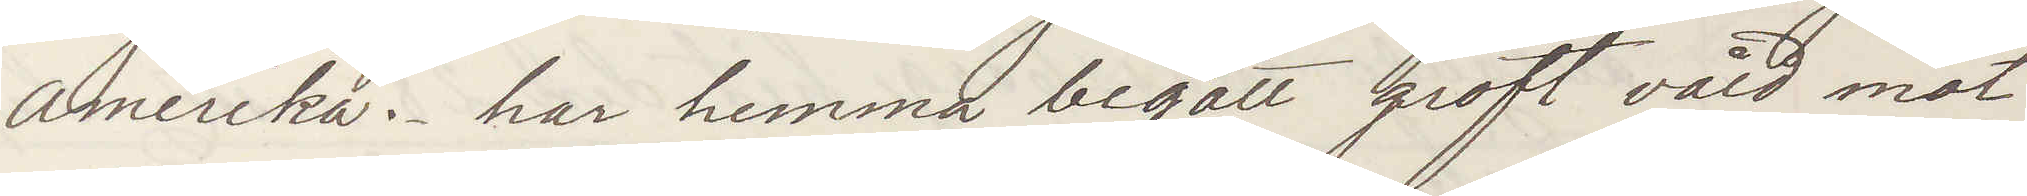Amerika. har hemma begått groft våld mot
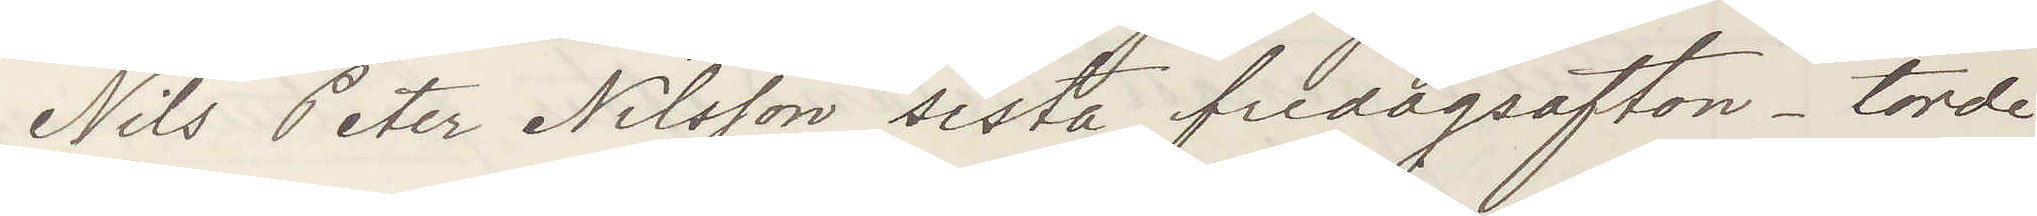Nils Peter Nilsson sista fredagsafton _ torde
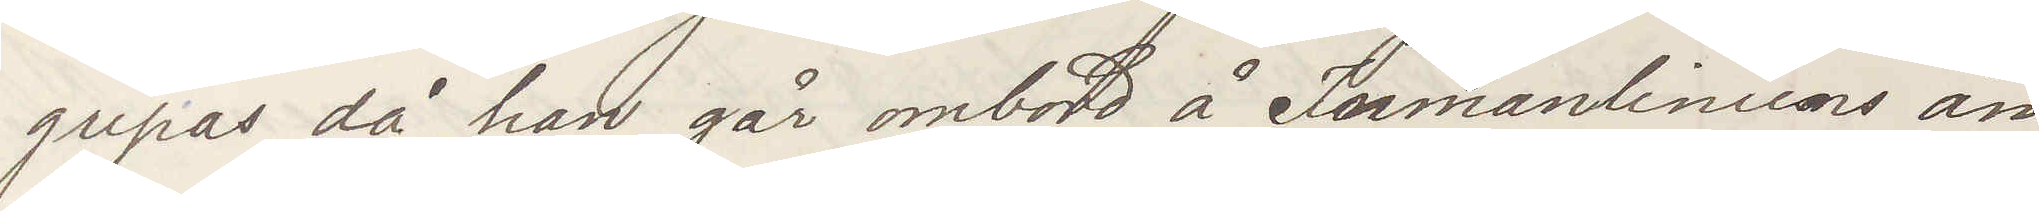gripas då han går ombord å Inmanliniens ån¬
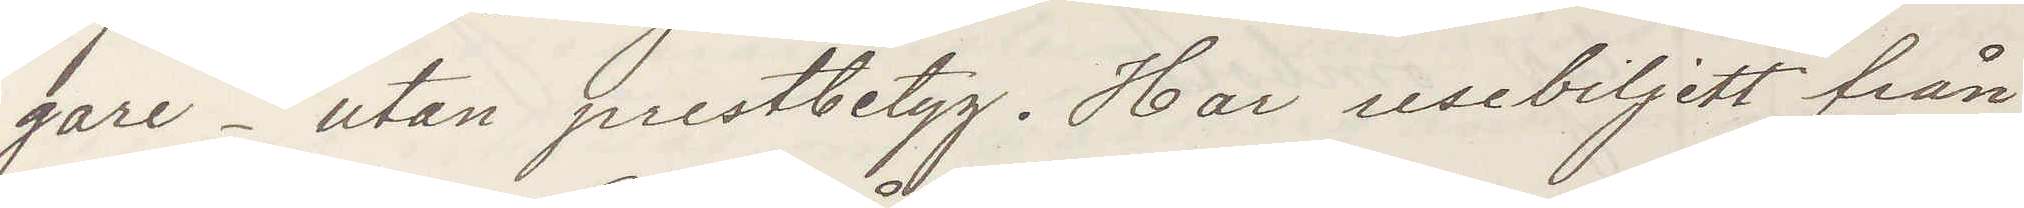gare _ utan prestbetyg. Har resebiljett från
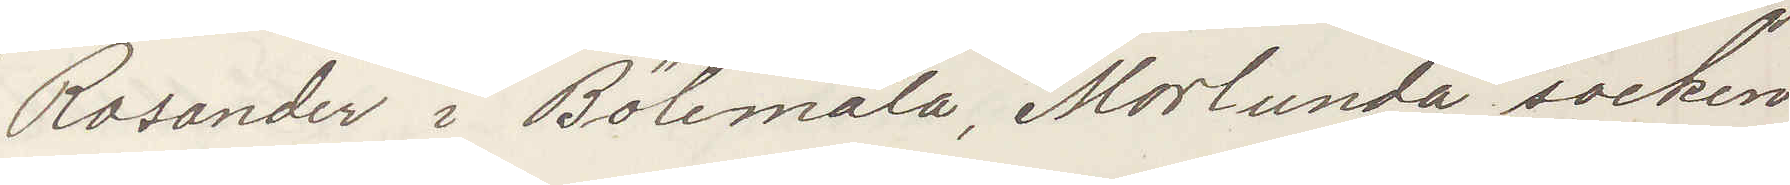Rosander i Bölemåla, Norlunda socken
